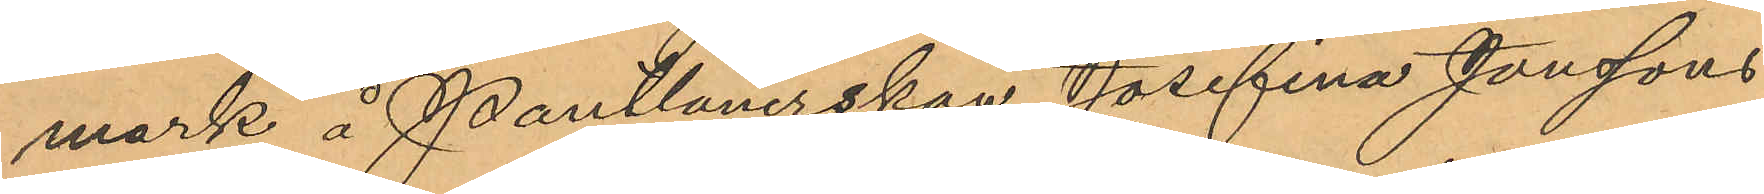mark å Pantlånerskan Josefina Jonssons
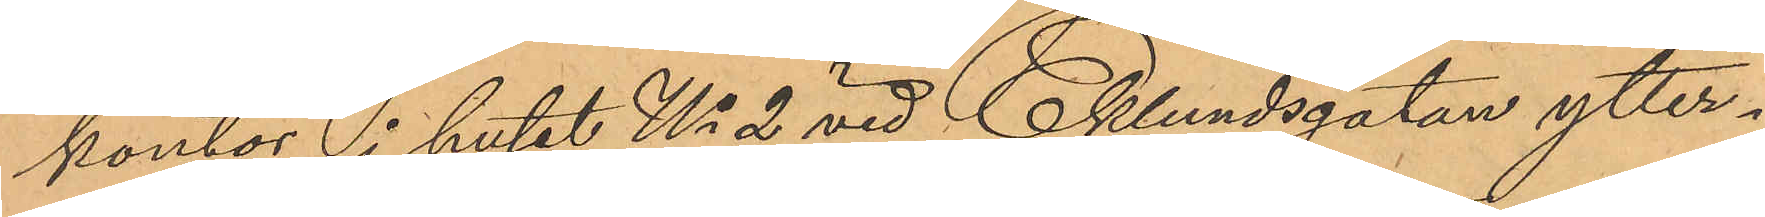kontor i huset No 2 vid Eklundsgatan ytter¬
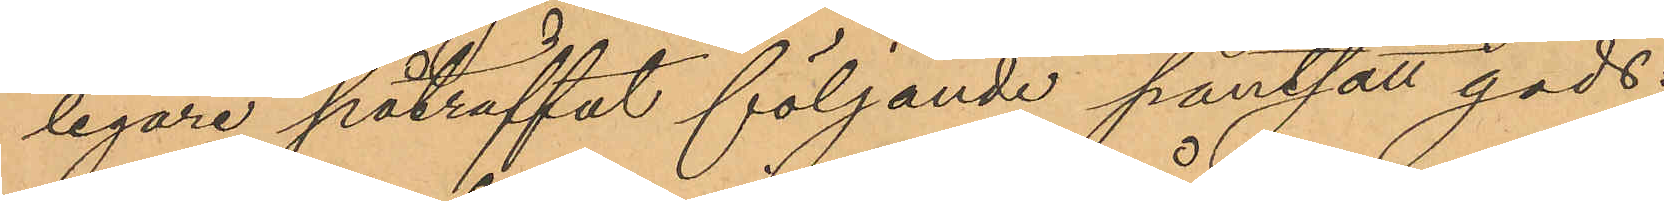ligare påträffat följande pantsatt gods.
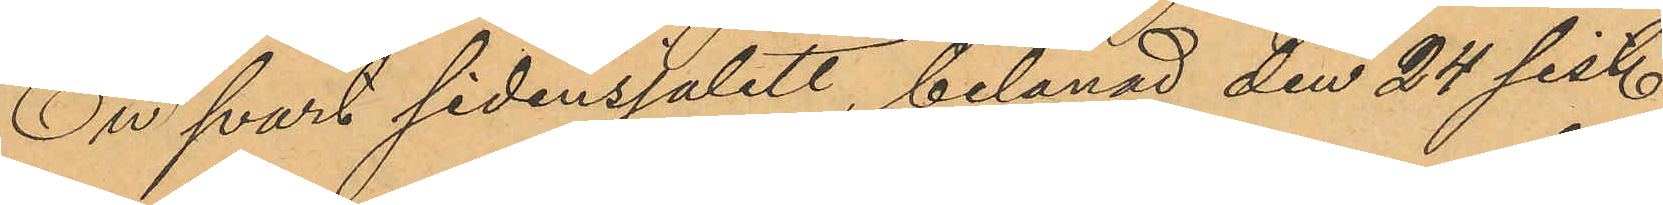En svart sidensjalett, belånad den 24 sist.
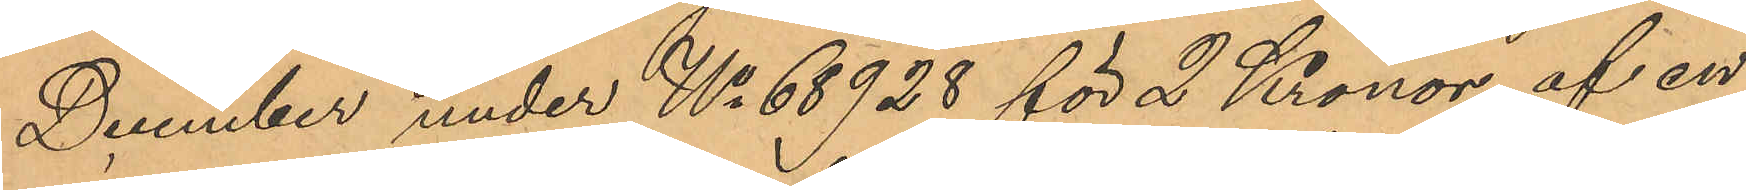December under No 68928 för 2 Kronor af en
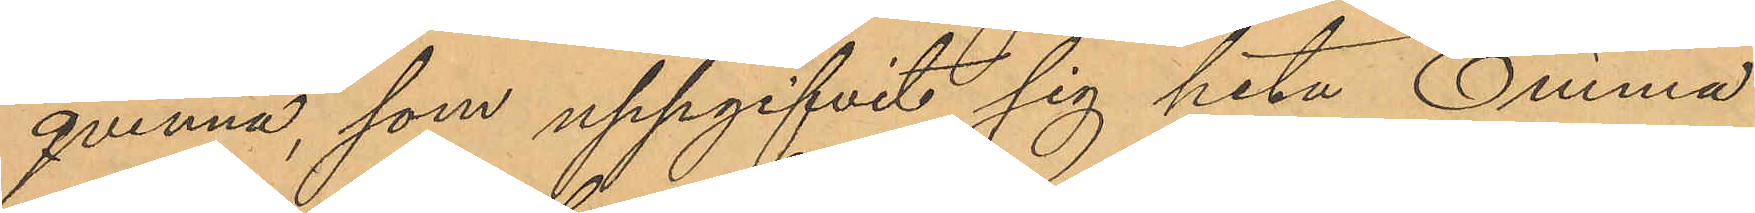qvinna, som uppgifvit sig heta Emma
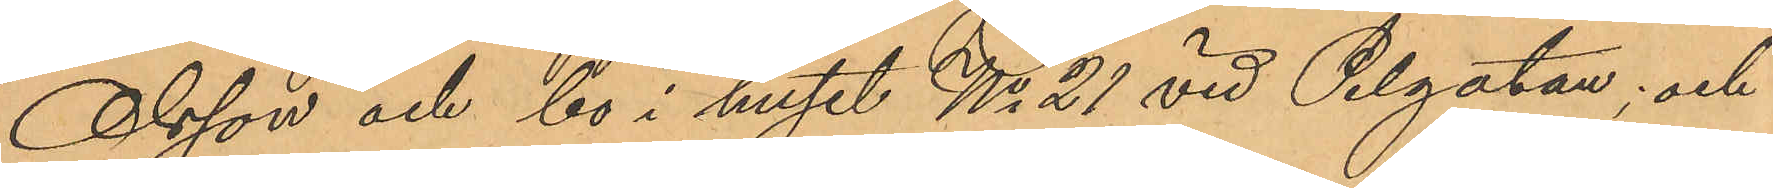Olsson och bo i huset No 21 vid Pilgatan; och
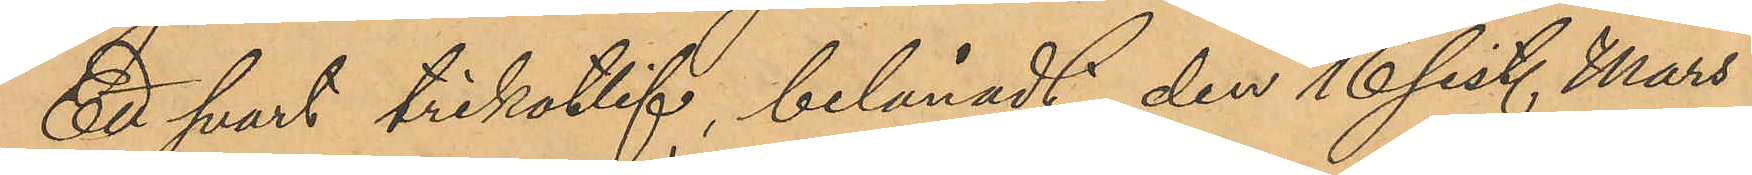ett svart trikotlif, belånadt den 16 sist. Mars
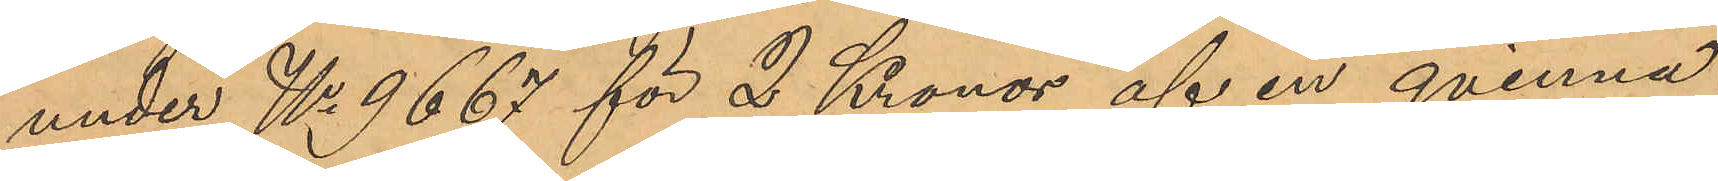under No 9667 för 2 Kronor af en qvinna,
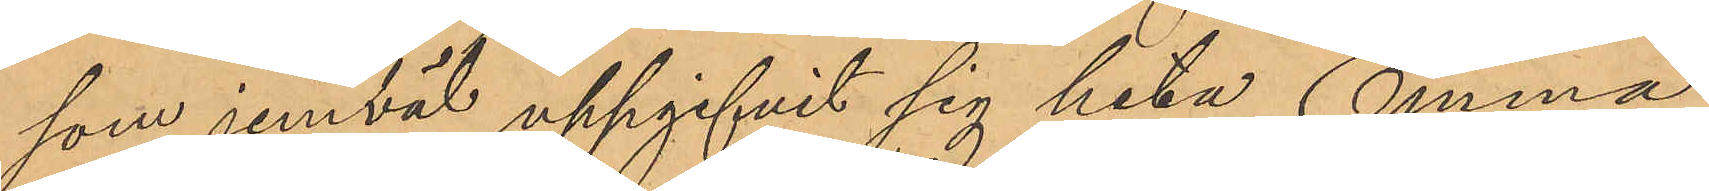som jemväl uppgifvit sig heta Emma
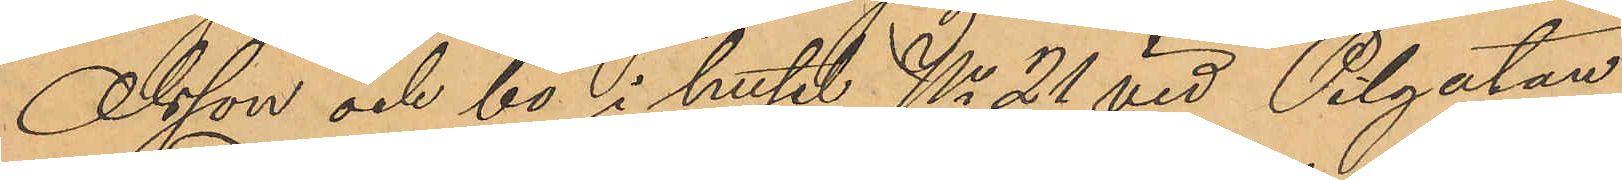Olsson och bo i huset No 21 vid Pilgatan.
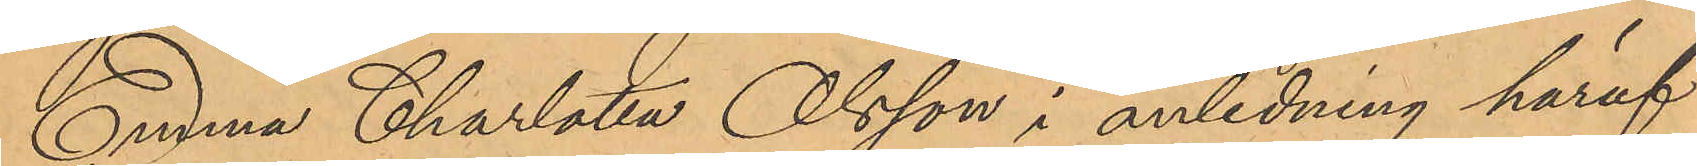Emma Charlotta Olsson i anledning häraf
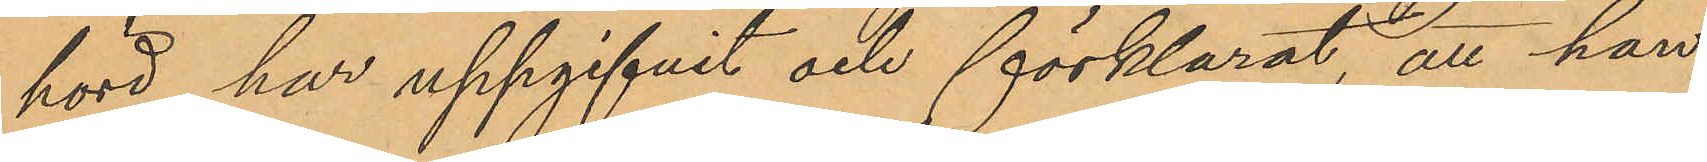hörd har uppgifvit och förklarat, att hon
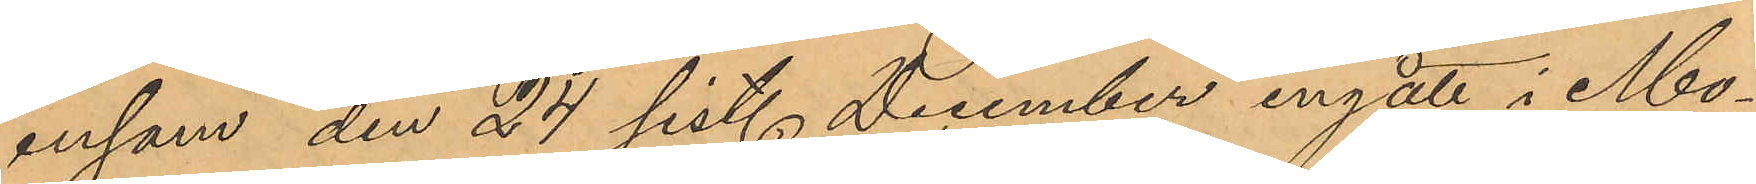ensam den 24 sist. December ingått i Mo¬
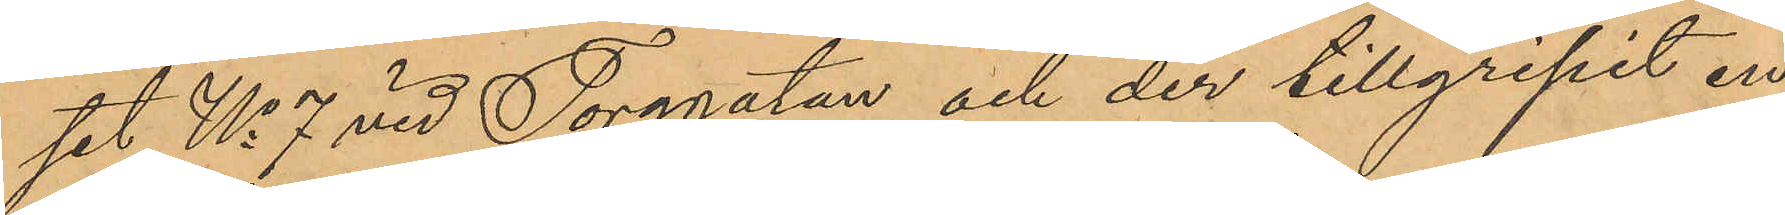set No 7 vid Torggatan och der tillgripit en
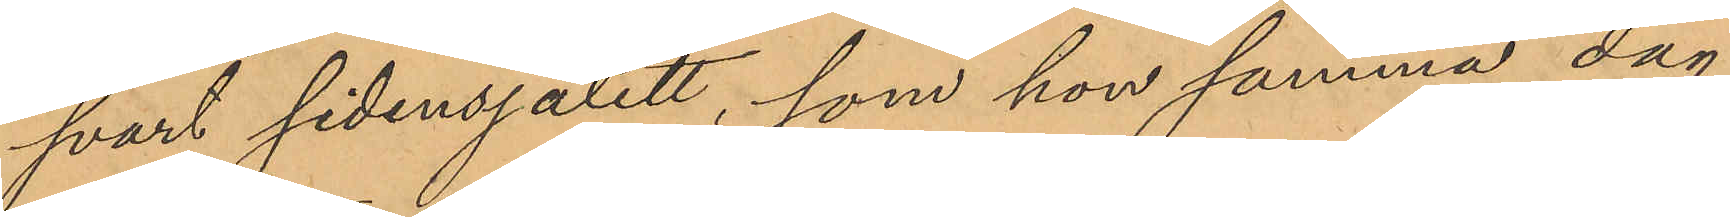svart sidensjalett, som hon samma dag
